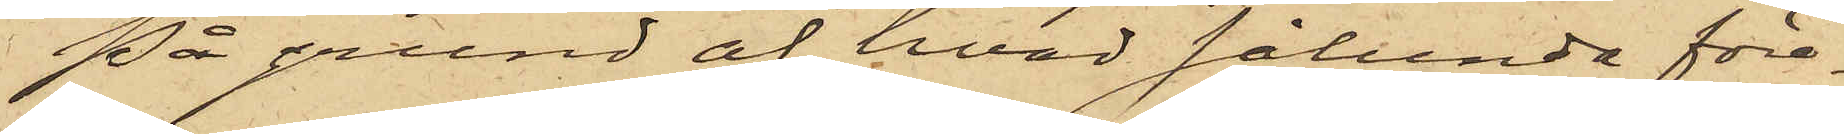På grund af hvad sålunda före¬
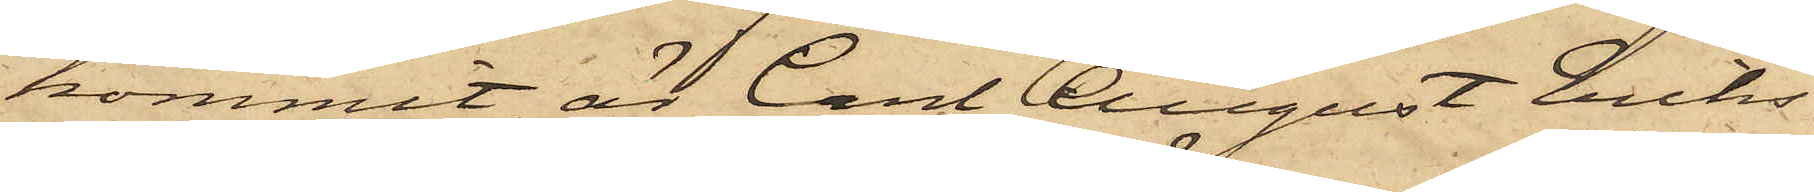kommit, är Carl August Eriks¬
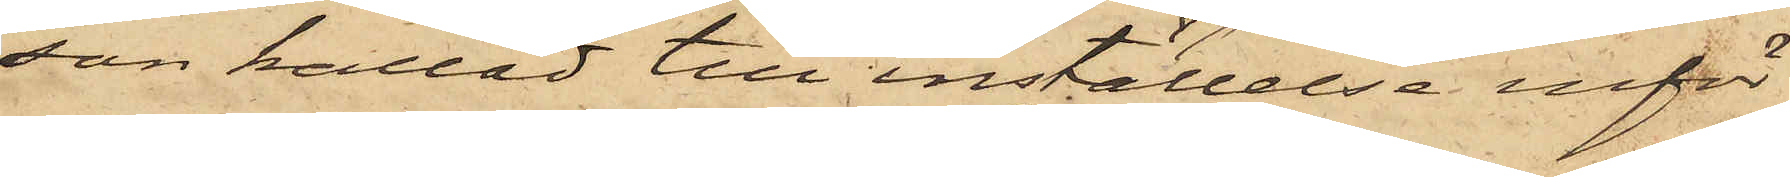son kallad till inställelse inför
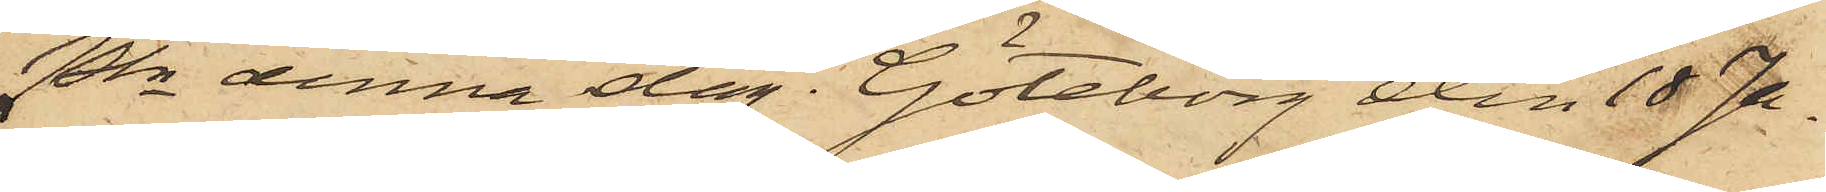Pkn denna dag. Göteborg den 18 Ja¬
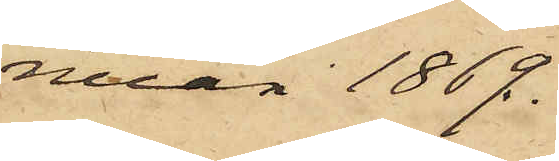nuar 1869.
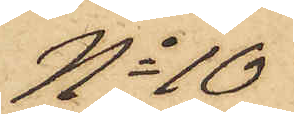No 10
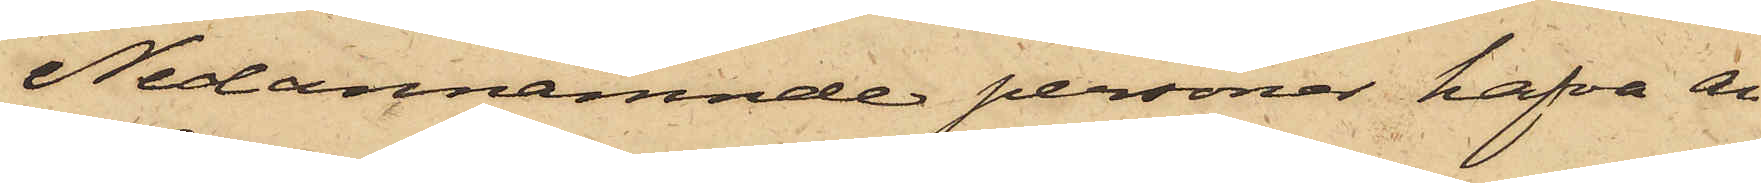Nedannämnde personer hafva an¬
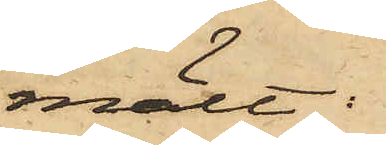mält:
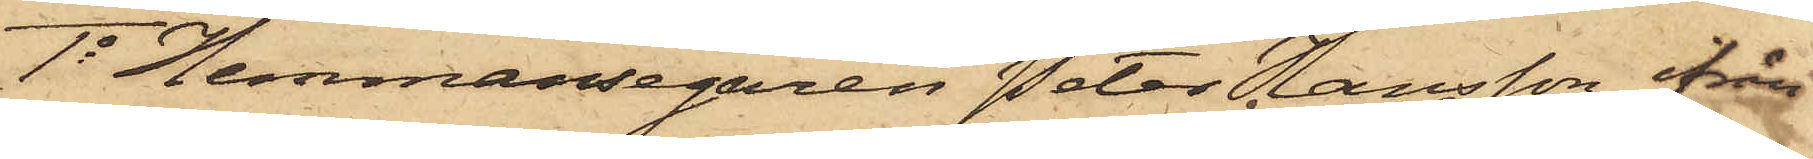1o Hemmansegaren Peter Hansson från
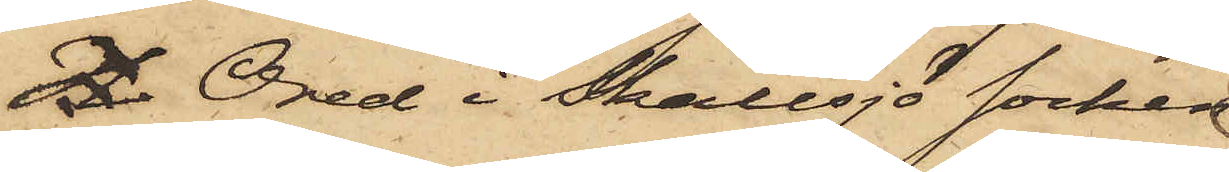Sk Ored i Skallsjö socken
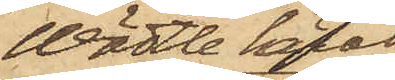Wädtle härad,
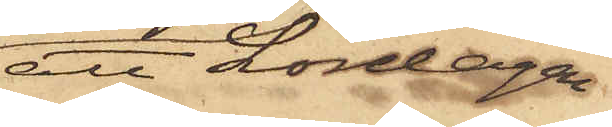att Lördagen
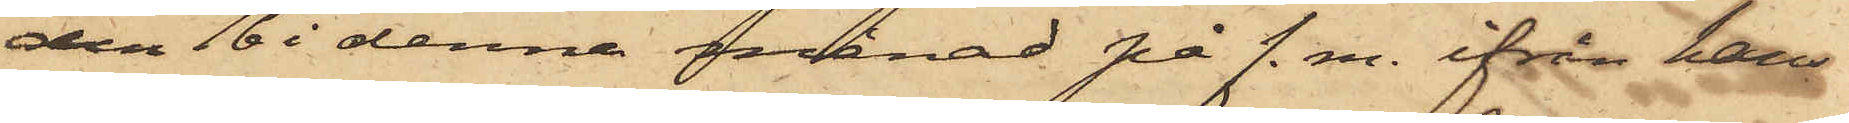den 16 i denna månad på f.m. ifrån hans
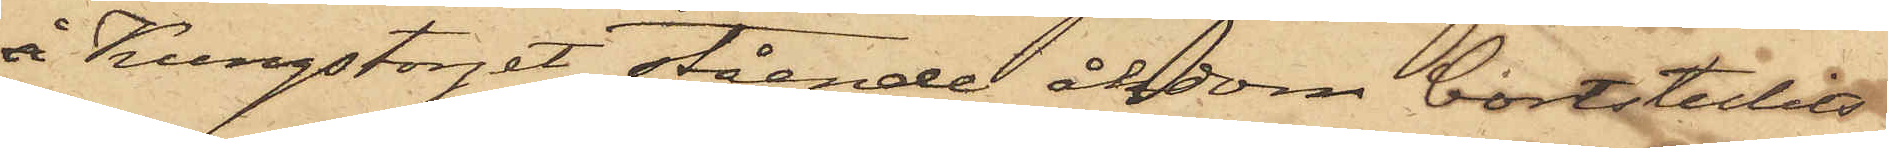å Kungstorget stående åkdon bortstulits
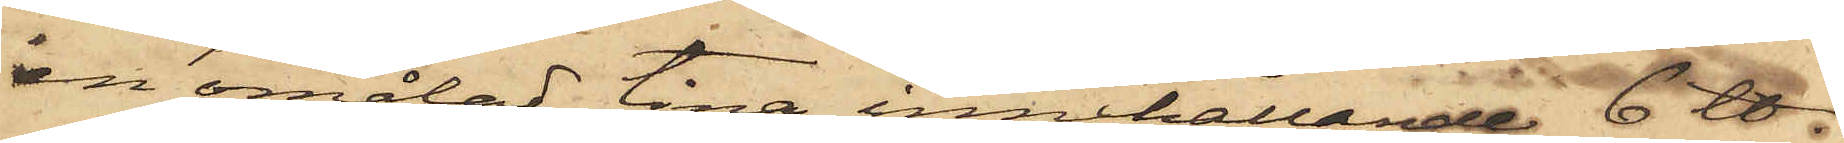en omålad tina, innehållande 6 ℔
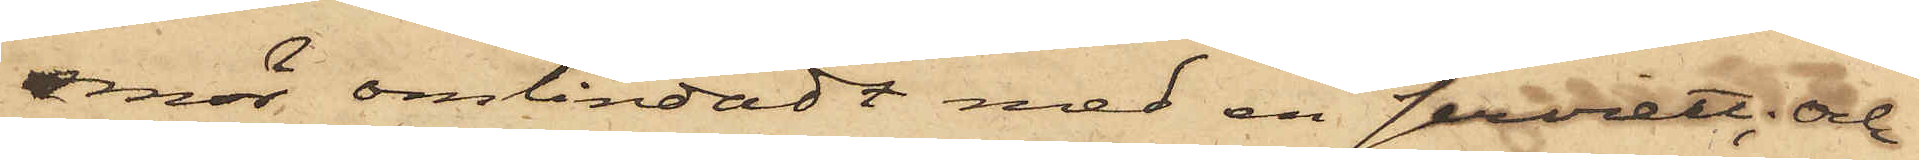smör, omlindadt med en serviett; och
